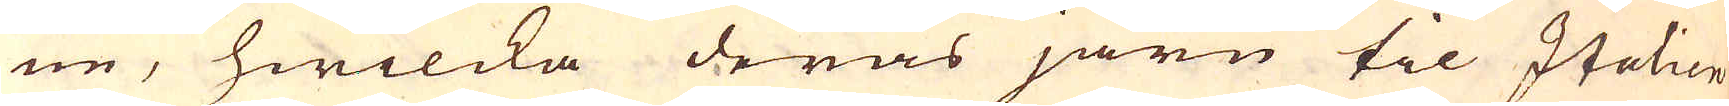ne, hwilcka deras järn til Italien
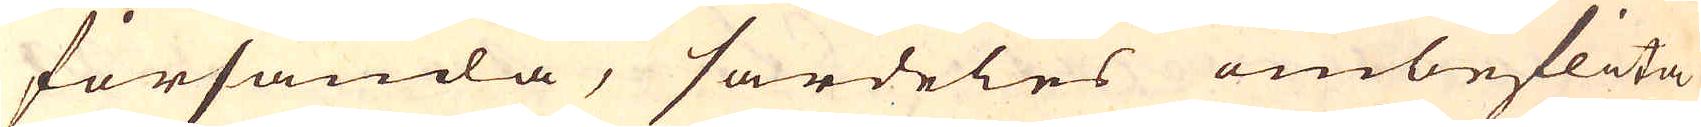försända, särdeles ombeflita
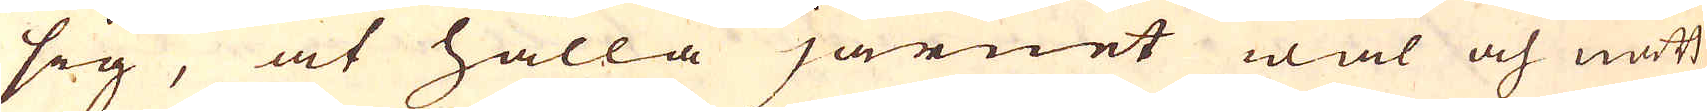sig, at hålla järnet wäl och nätt
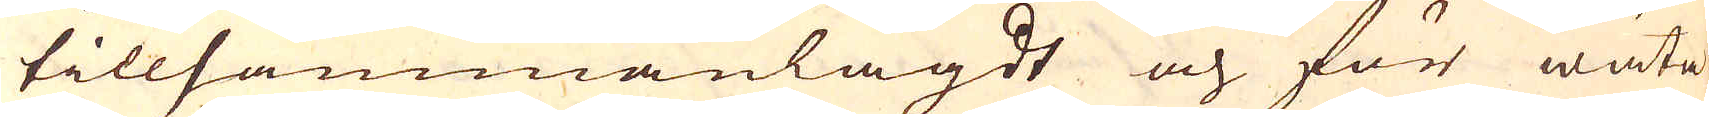tillsammanlagdt och för wäta
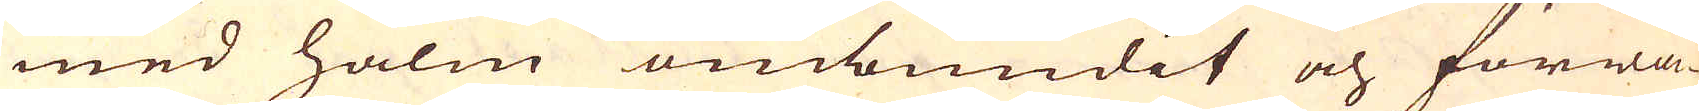med halm ombundit och förwa-
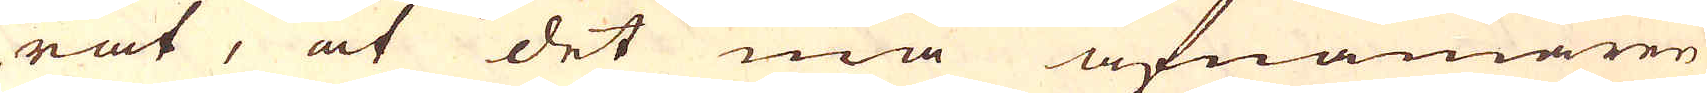rat, at det må afnämaren
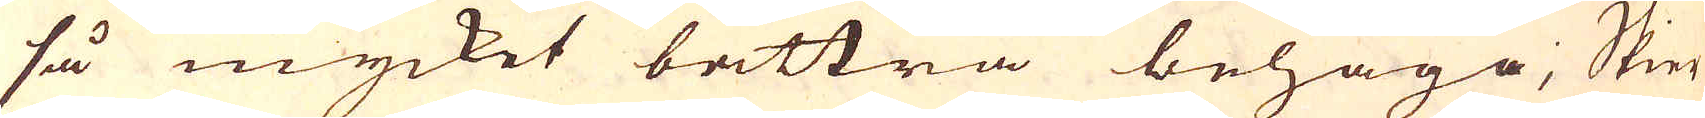så mycket bättra behaga; Skier
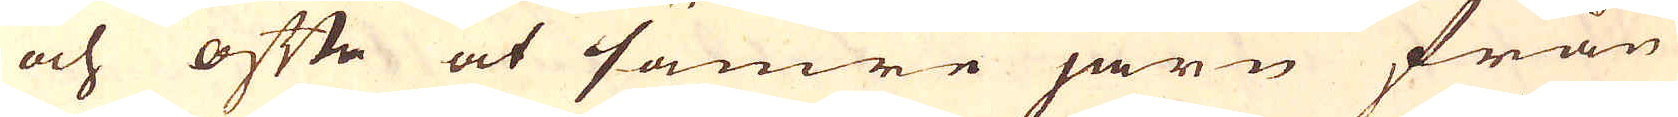och ofte at sämre järn från
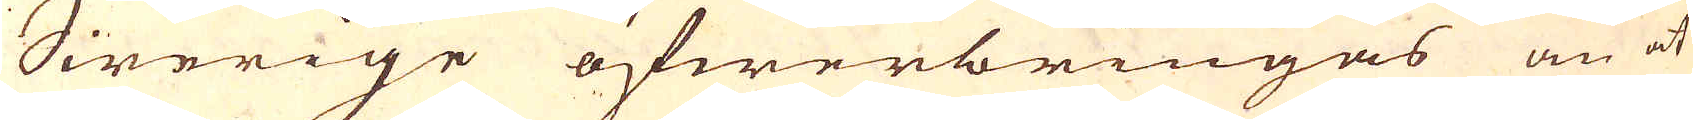Swerige öfwerbringas än at
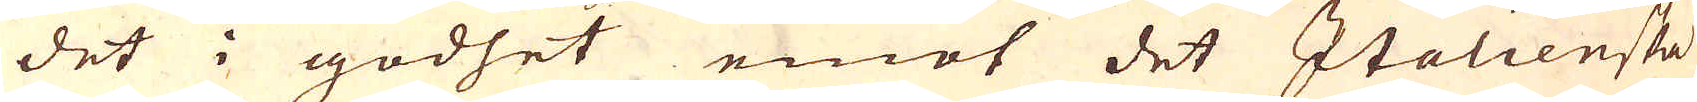det i godhet emot det Italienska
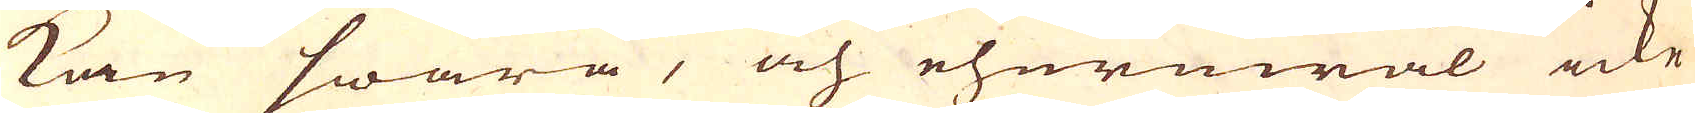kan swara, och ehuruwäl icke
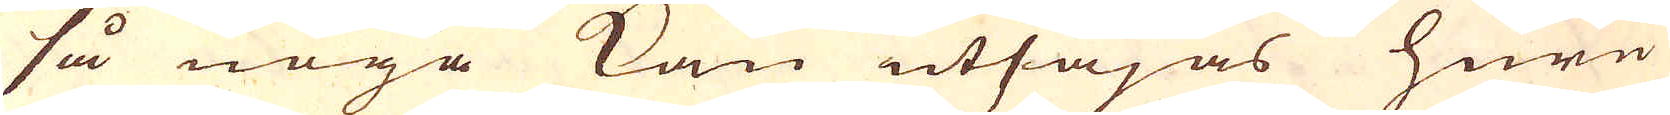så noga kan utsäjas huru
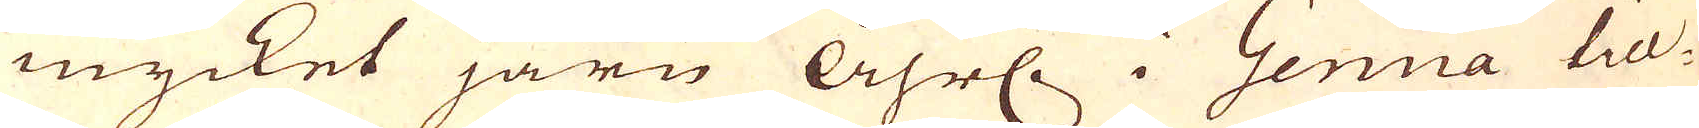mycket järn Åhrl. i Genua till-
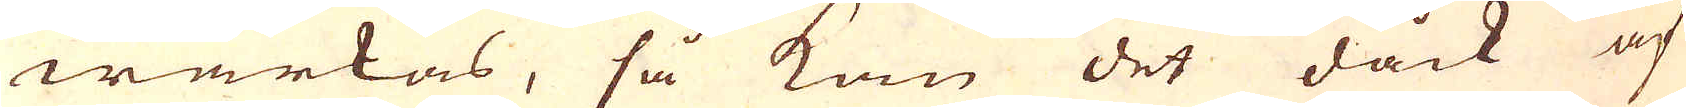wärkas, så kan det dåck af
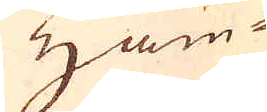Ham-
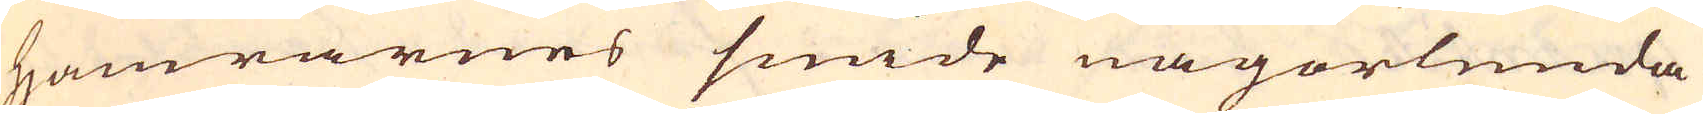hamrarnes smide någorlunda
